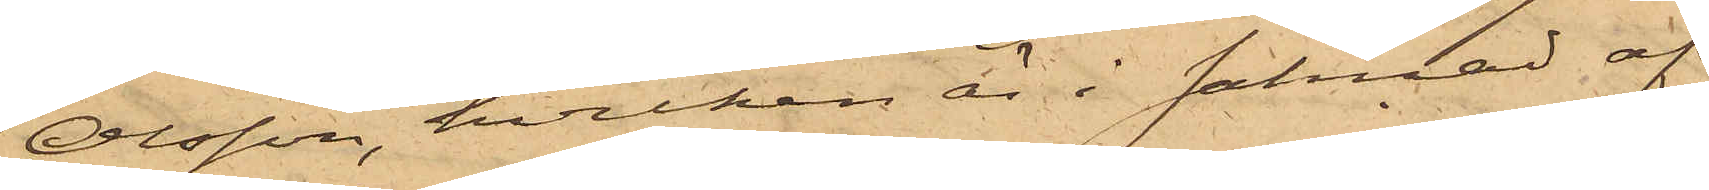Olsson, hvilken är i saknad af
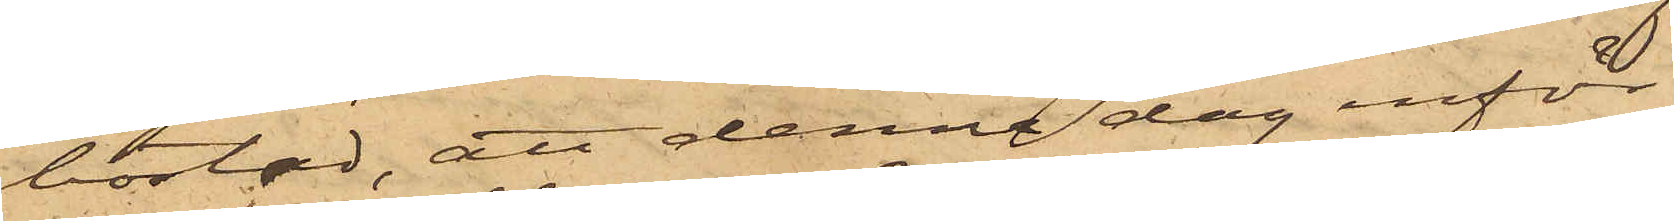bostad, att denna dag inför
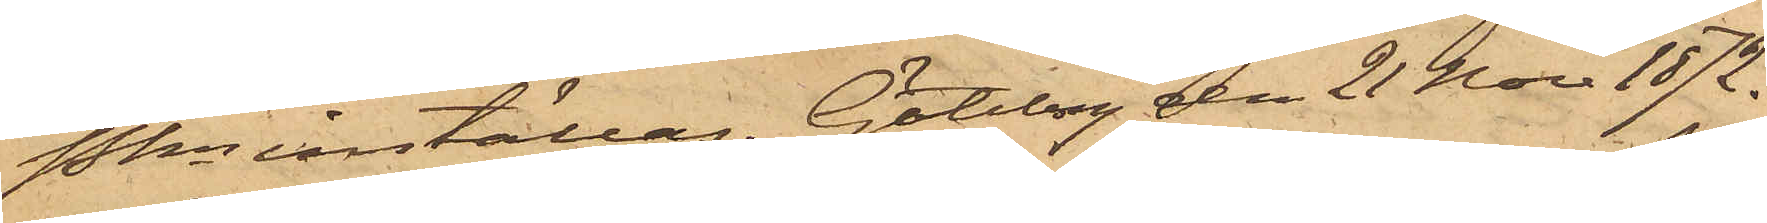Pkn inställas. Göteborg den 21 Nov 1872.
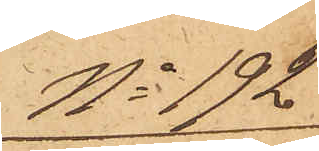No 192
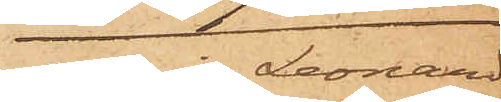Albin Leonard
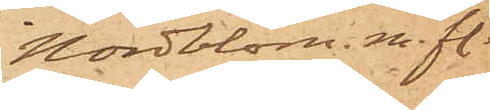Nordblom. m. fl.
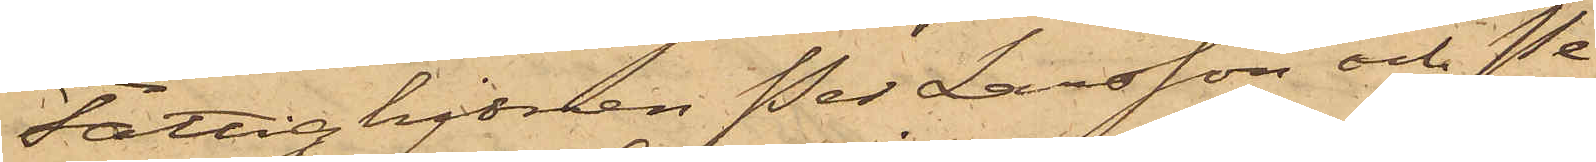Fattighjonen Per Larsson och Pe¬
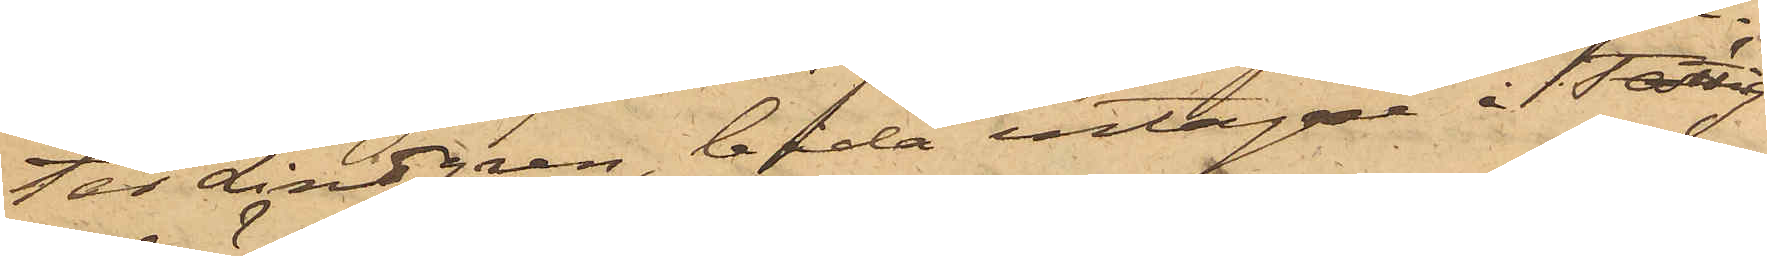ter Lindgren, båda intagne i Fattig¬
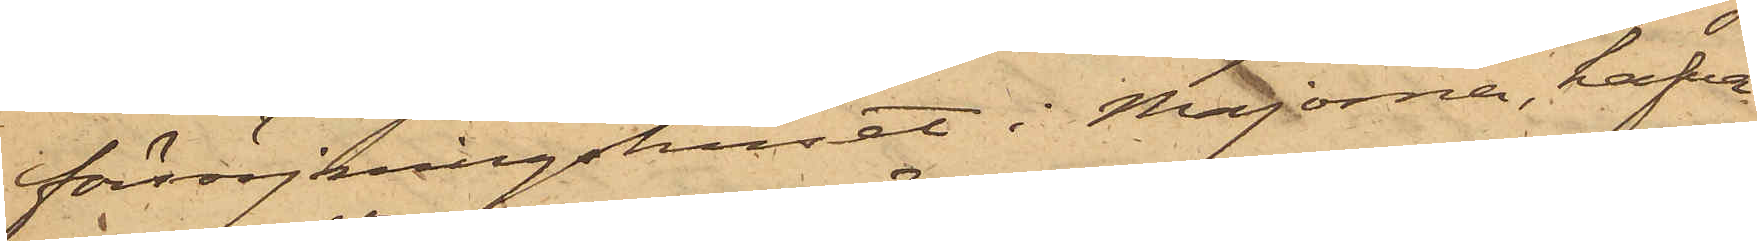försörjningshuset i Majorna, hafva
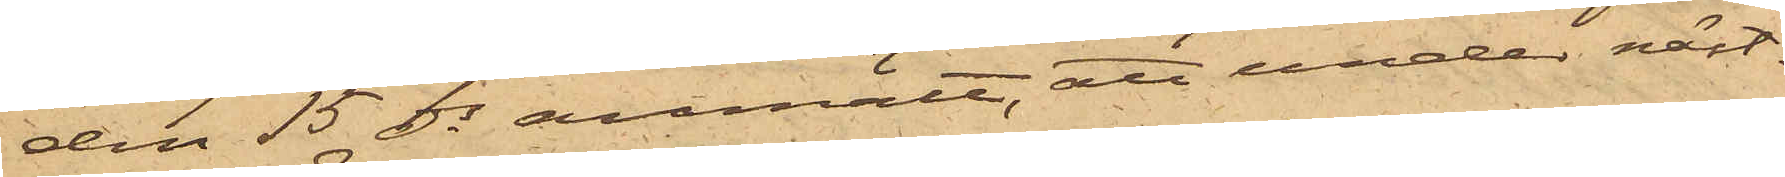den 15 ds anmält, att under näst¬
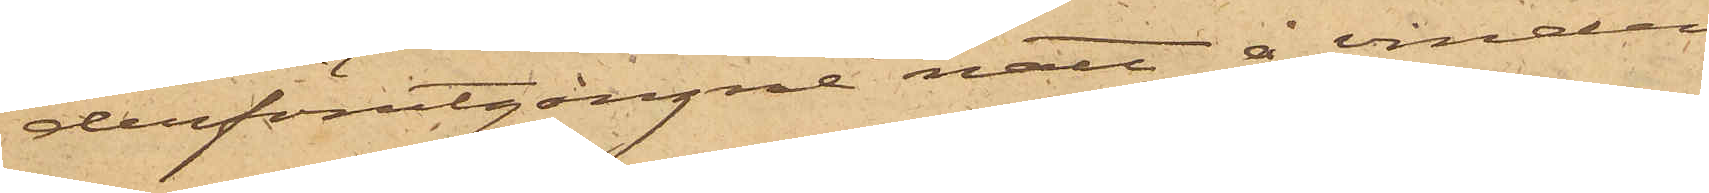derförutgångne natt å vinden
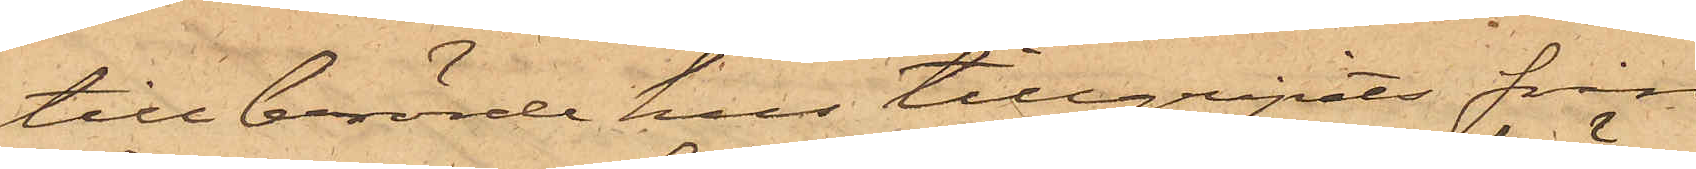till berörde hus tillgripits från
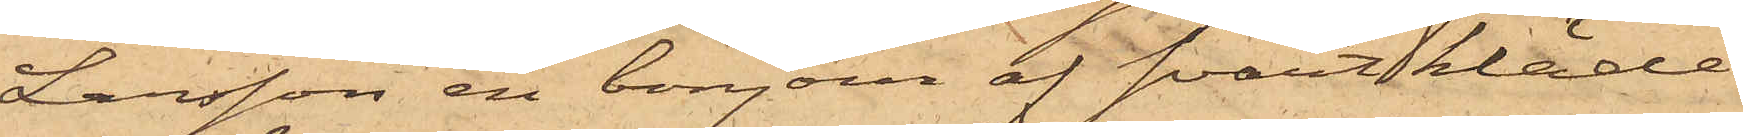Larsson en bonjour af svart kläde
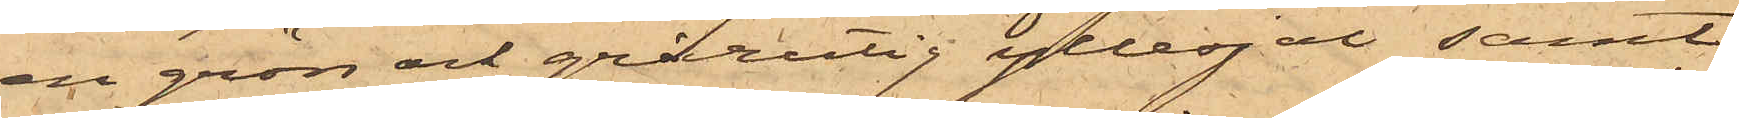en grön och grårutig yllesjal samt
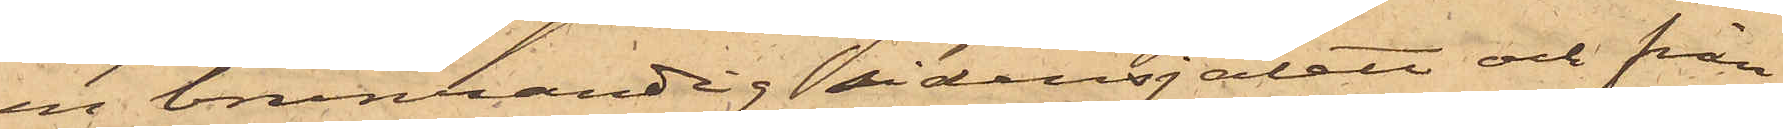en brunrandig sidensjalett och från
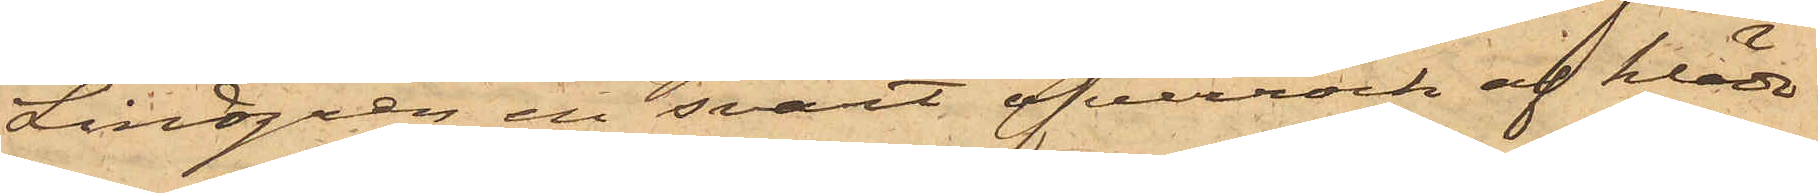Lindgren en svart öfverrock af kläde
